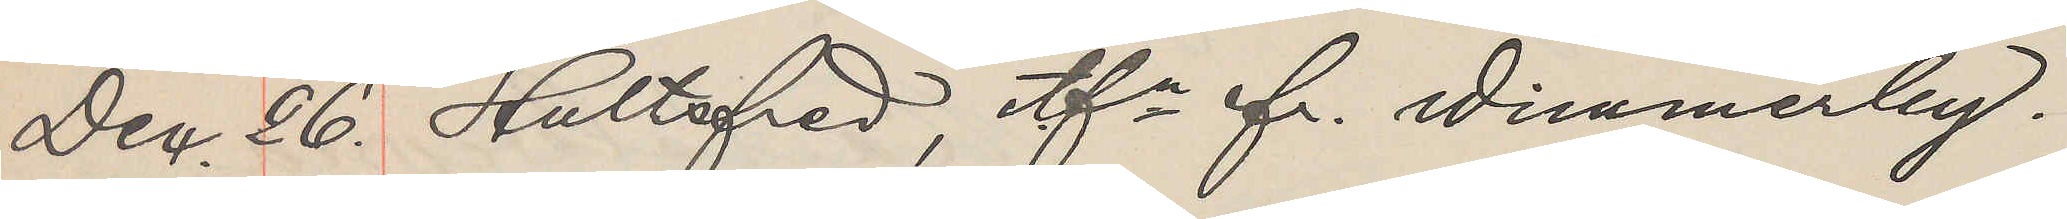Dec. 26. Hultsfred, tfn fr. Wimmerby.
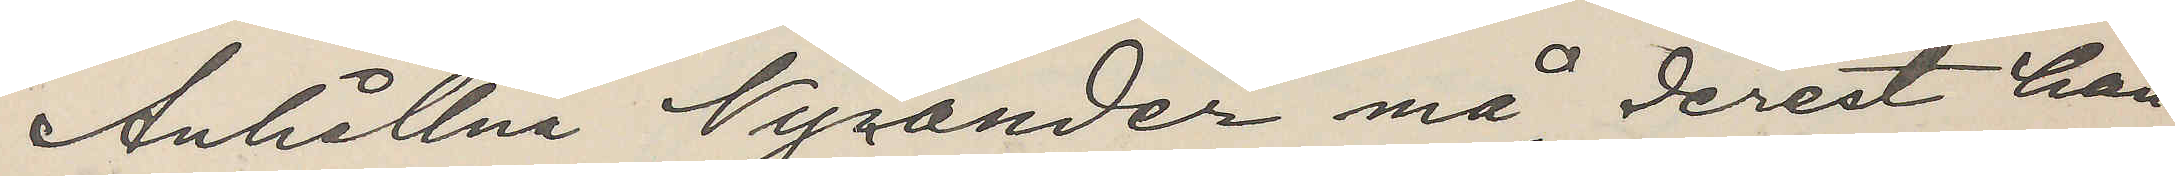Anhållna Nycander må, derest han
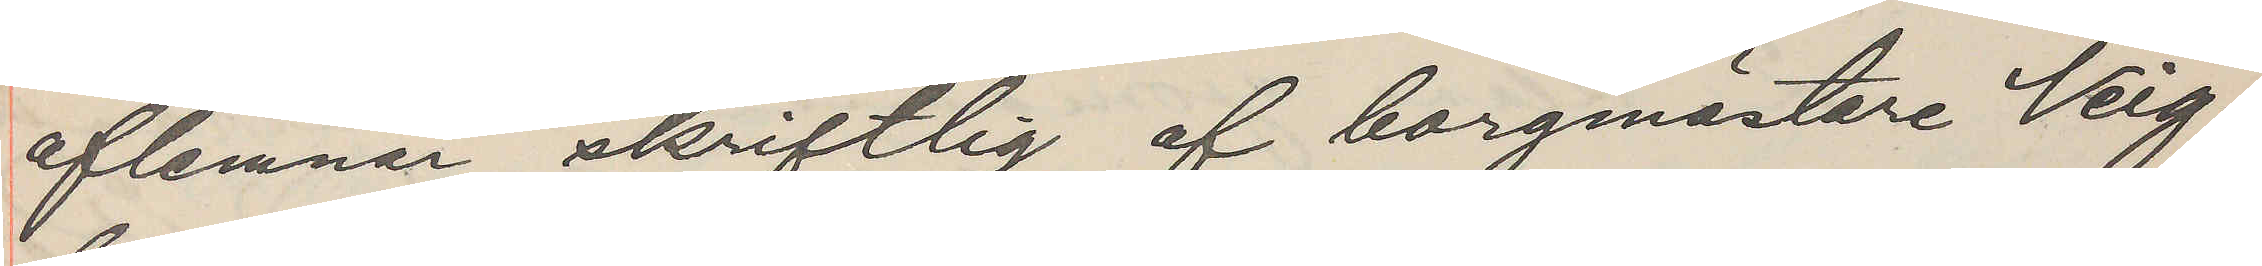aflemnar skriftlig af borgmästare Veig¬
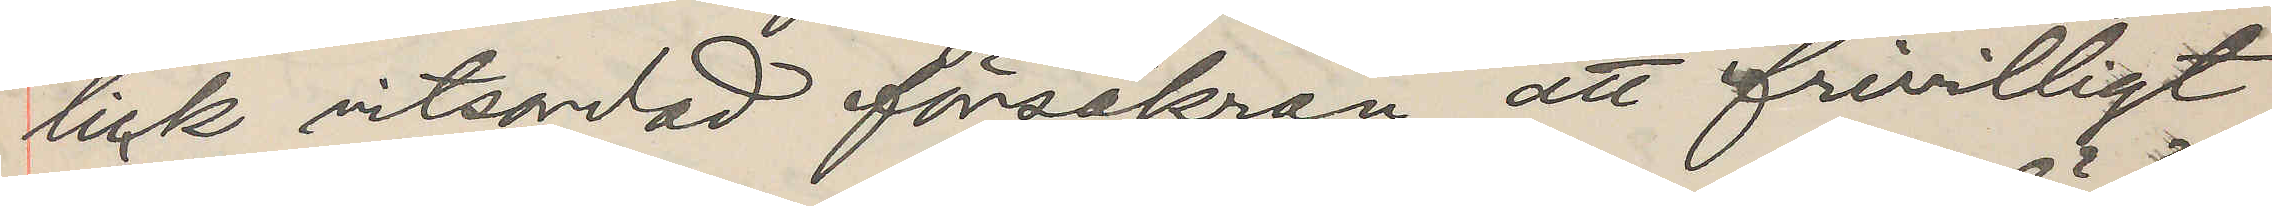lick vitsordad försäkran att frivilligt
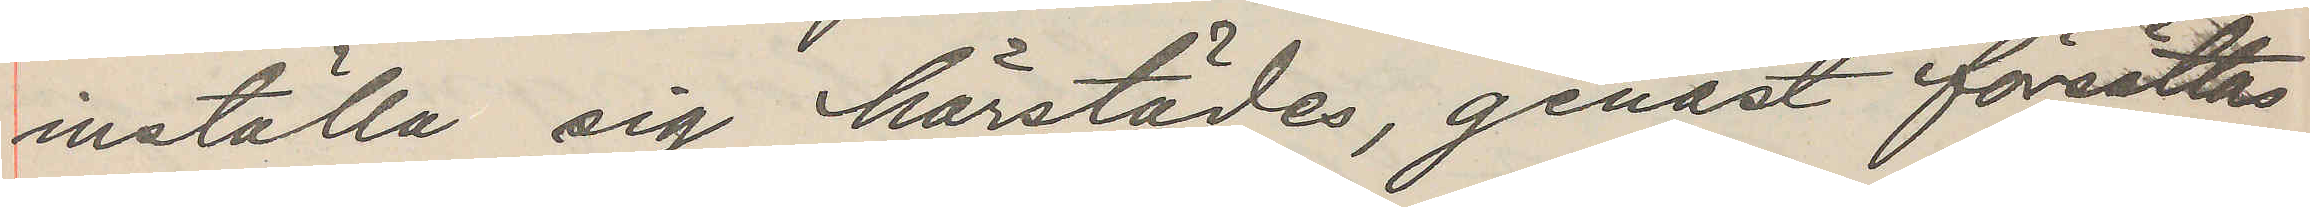inställa sig härstädes, genast försättas
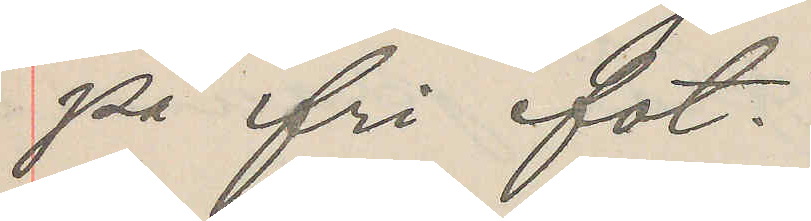på fri fot.
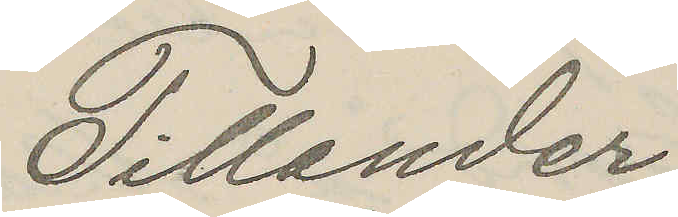Tillander
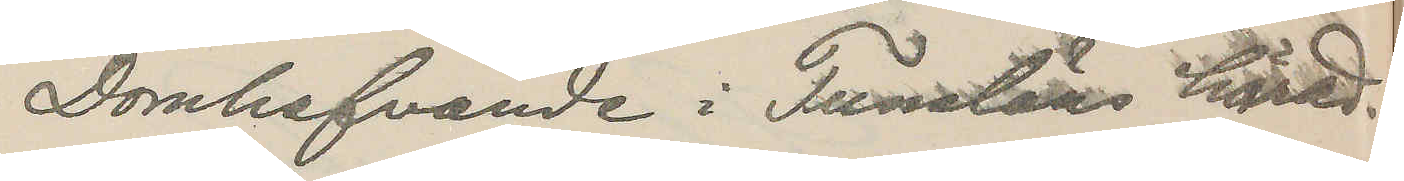Domhafvande i Tunaläns härad.
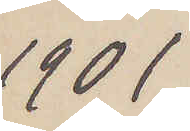1901
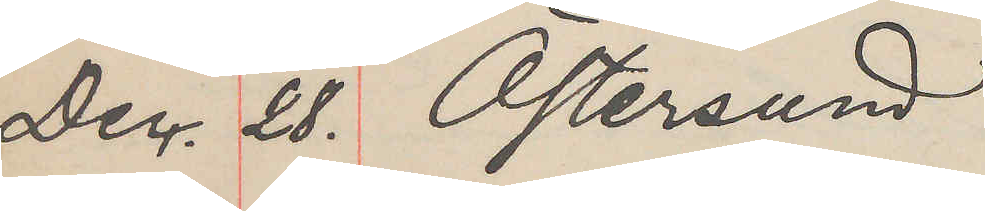Dec. 28. Östersund
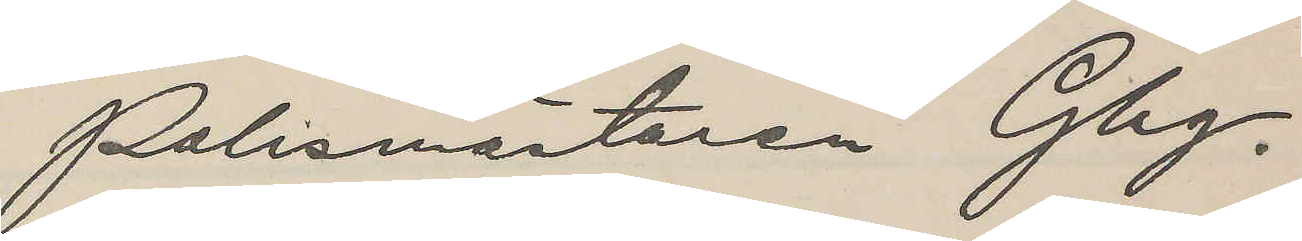Polismästaren Gbg
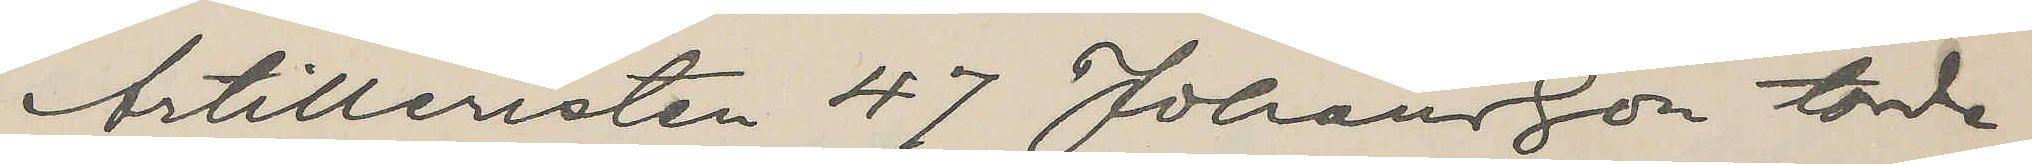Artilleristen 47 Johansson torde
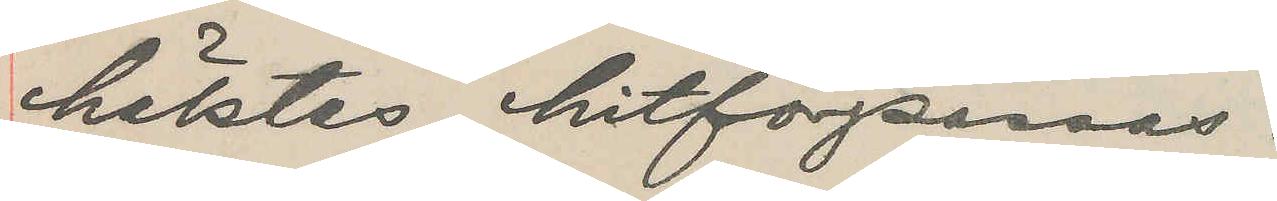häktas, hitförpassas.
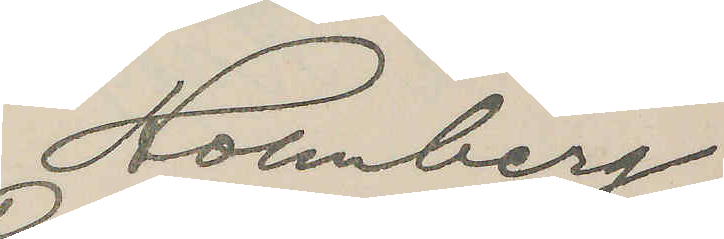Holmberg
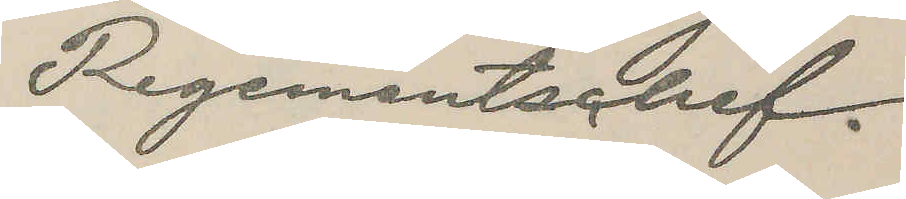Regementschef.
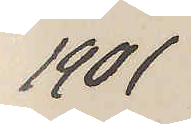1901
